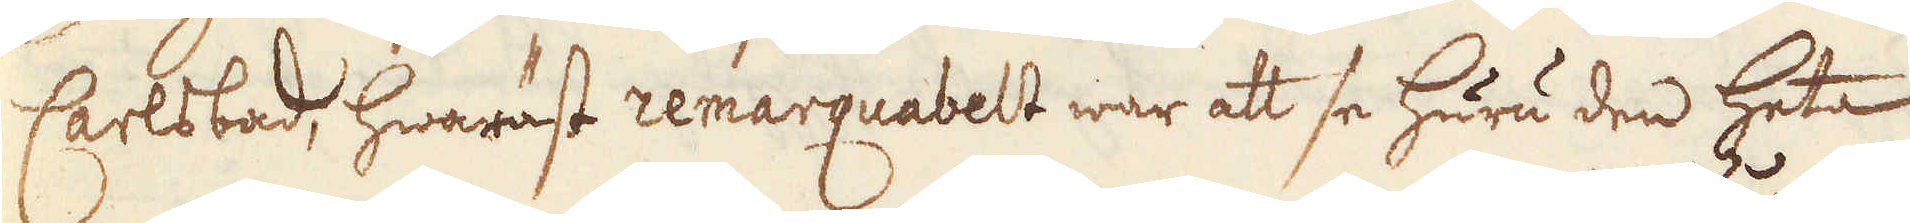Carlsbad, hwaräst remarquabelt war att se huru den heta
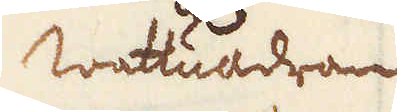Wattuådran
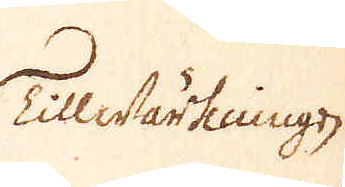Tillwärkningen
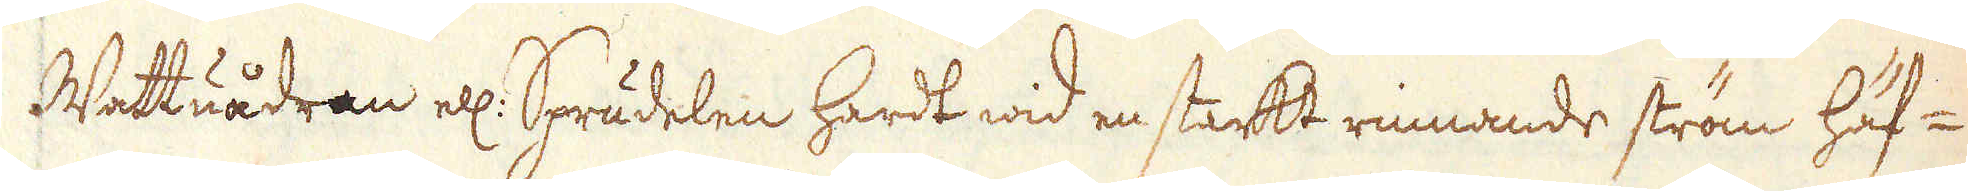Wattuådran ell: Sprudelen hardt wid en starkt rinnande ström häf-
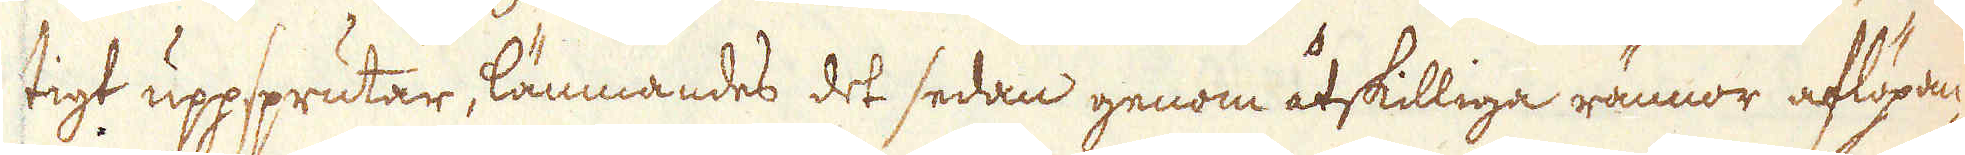tigt uppsprutar, lämnandes det sedan genom åtskilliga rännor aflöpan-
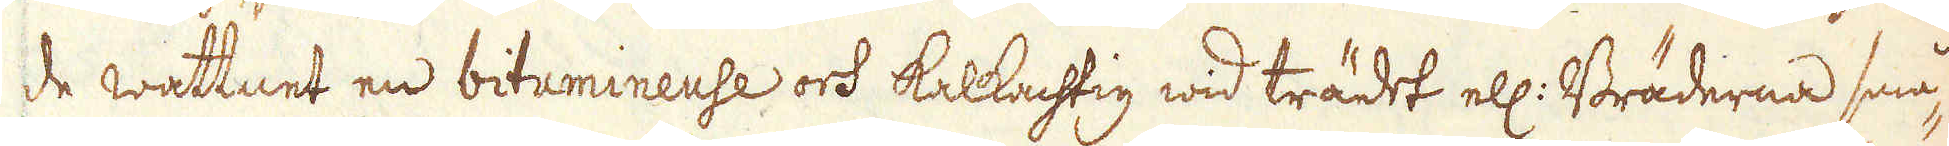de wattnet en bitumineuse och kalkachtig wid trädet ell: Bräderna små-
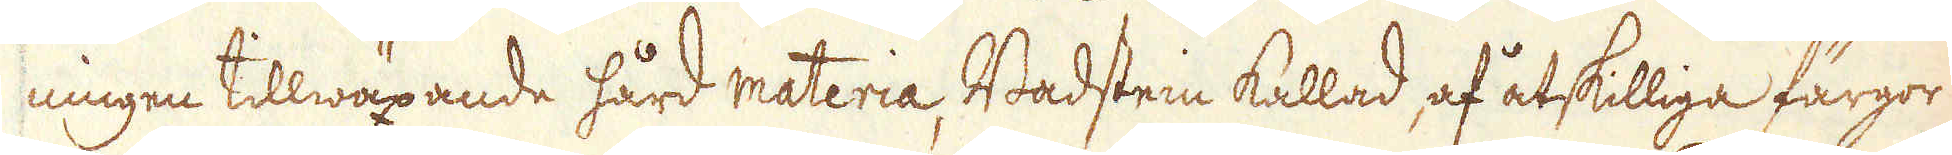ningen tillwäxande hård materia, Badstein kallad, af åtskilliga färgor
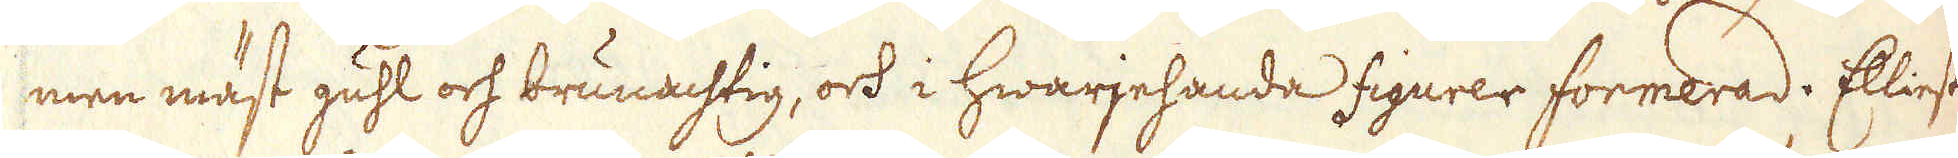men mäst guhl och brunachtig, och i hwarjehanda figurer formerad. Elliest
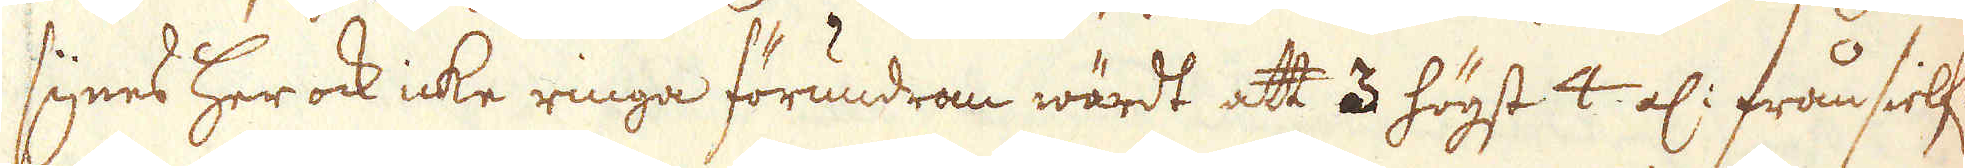synes her ock icke ringa förundran wärdt att 3 högst 4 al: från sielf:
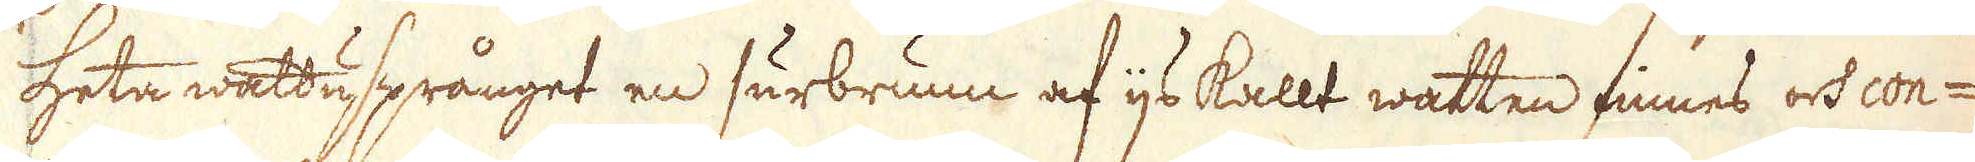heta wattusprånget en surbrunn af ijs kallt watten finnes och con-
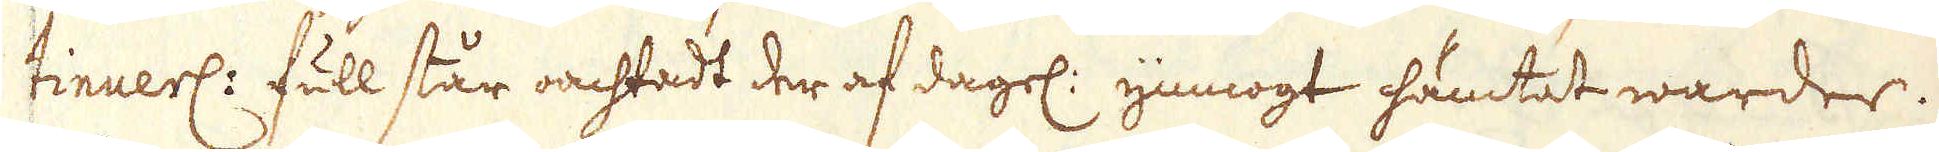tinuerl: full står oachtadt der af dagel: ymnogt hämtat warder.
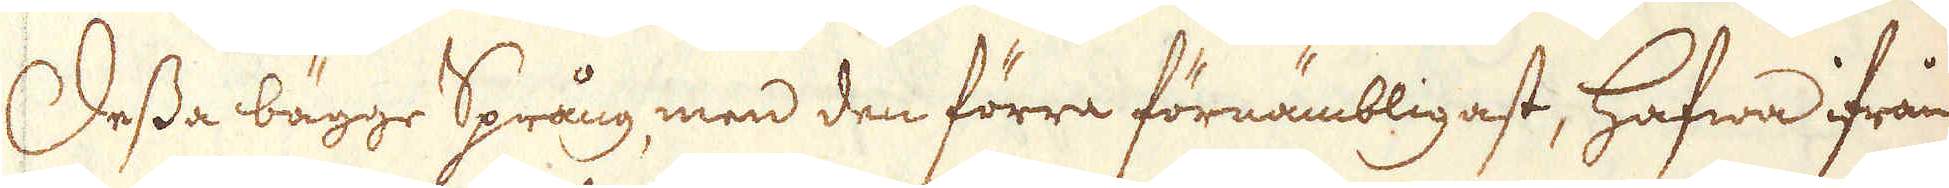Dessa bägge Språng, men den förra förnämbligast, hafwa ifrån
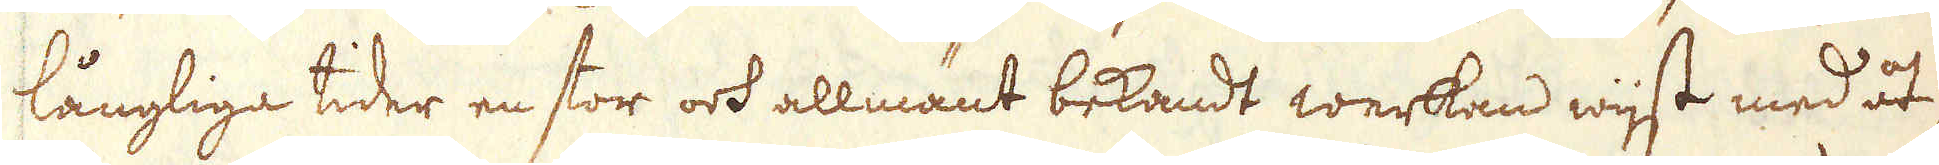långliga tider en stor och allmänt bekandt werkan wijst med åt-
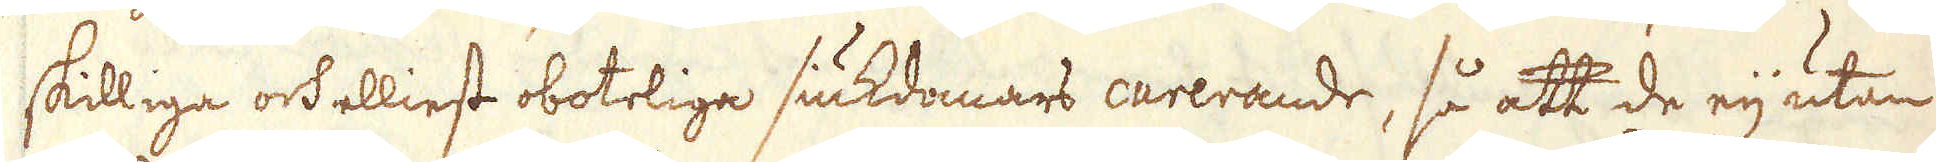skilliga och elliest oboteliga siukdomars curerande, så att de eij utan
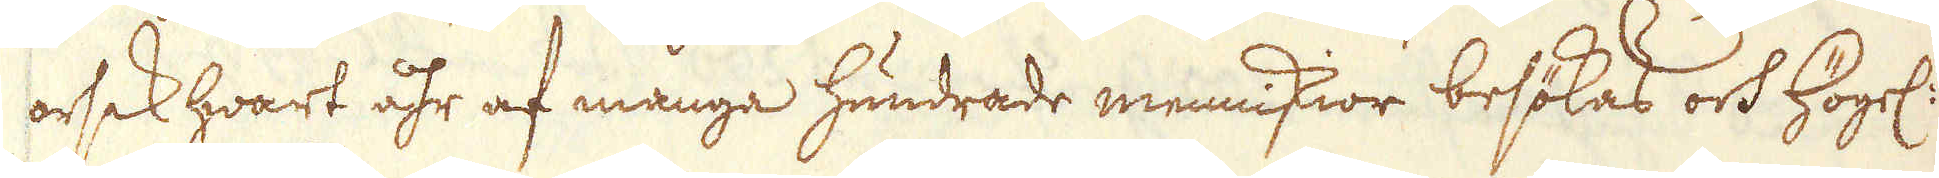orsak hwart åhr af många hundrade menniskior besökas och högel:
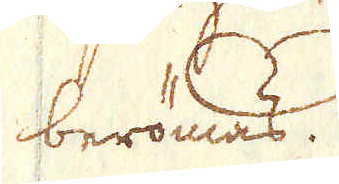berömas.
